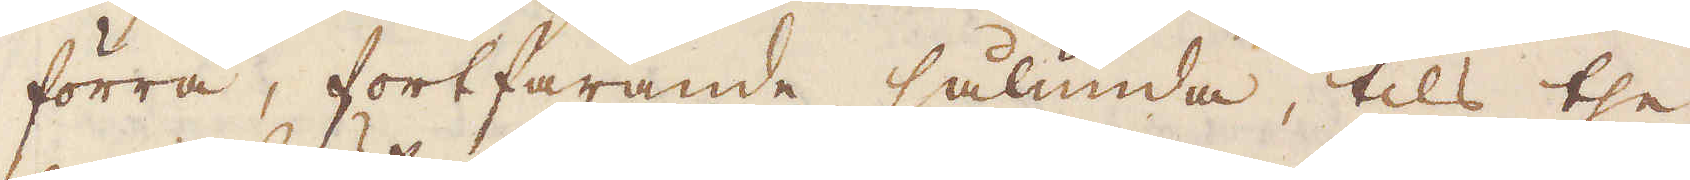förra, fortfarande sålunda, tils the
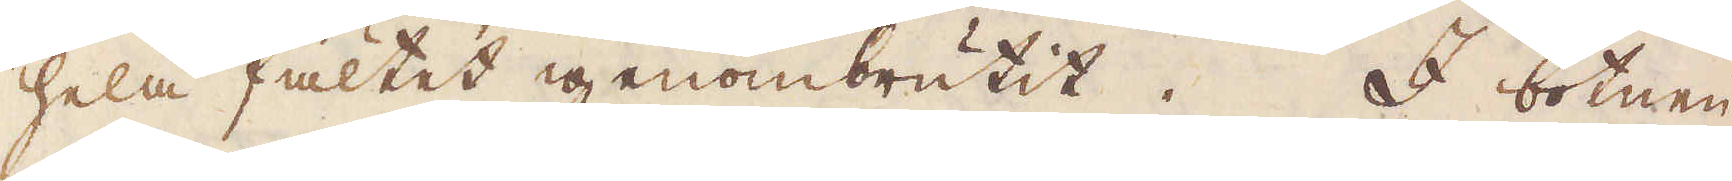hela fältet igenombrutit. I botnen
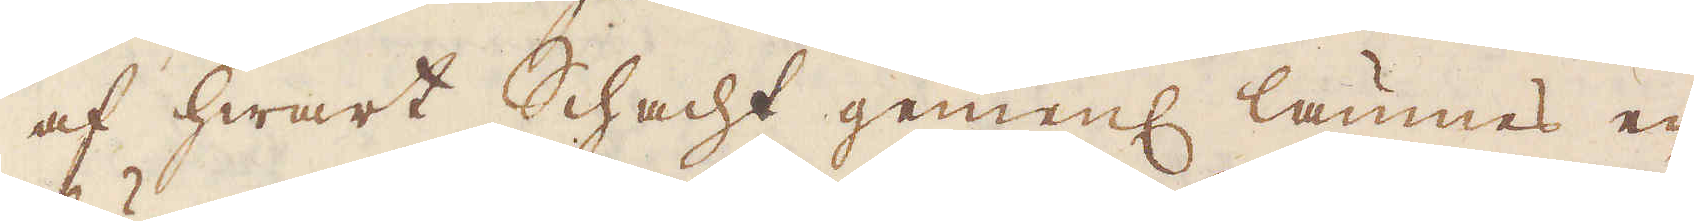af hwart Schacht gemenl lämnes en
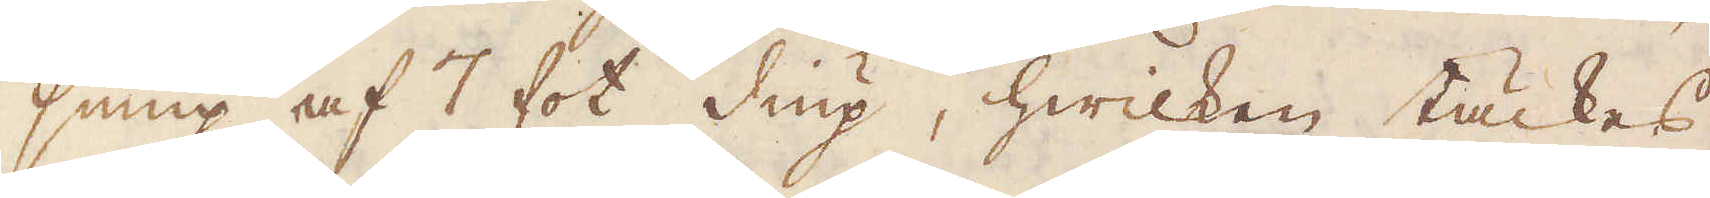sump af 7 fot diup, hwilken täckes
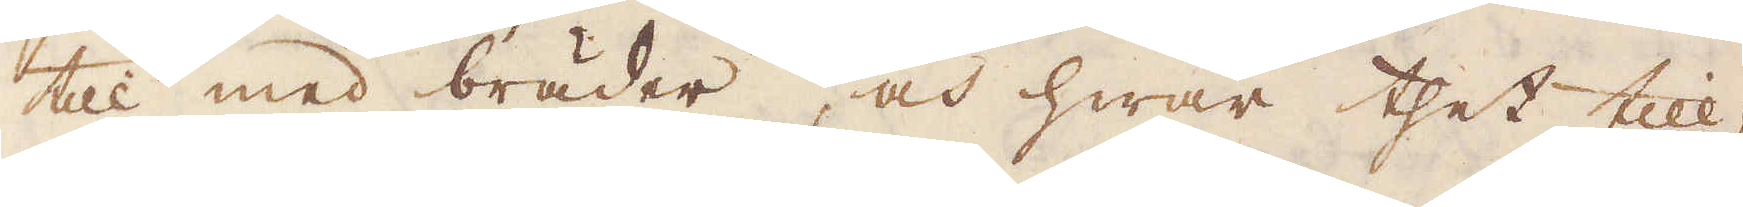till med bräder, och hwar thet till,
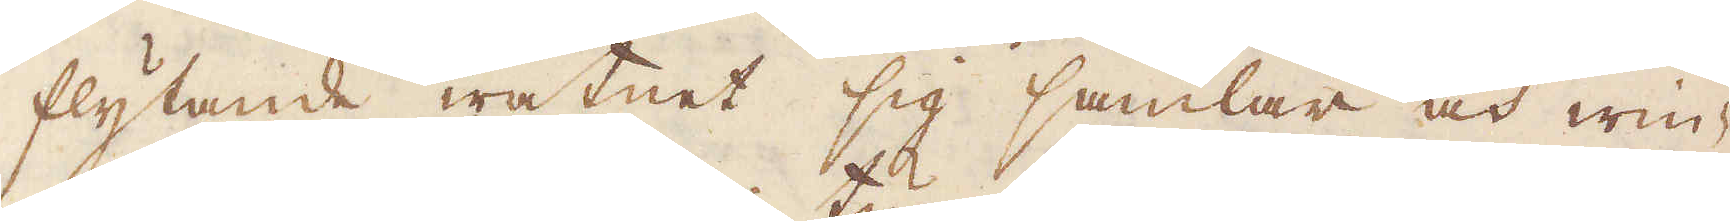flytande watnet sig samlar och win-
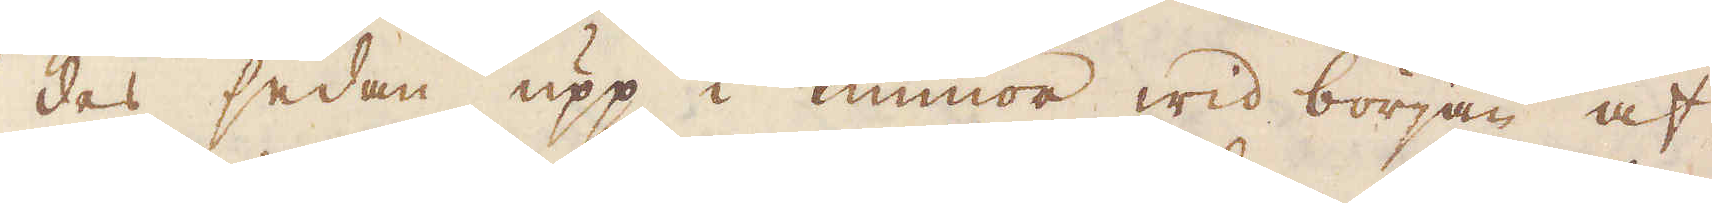des sedan upp i tunnor wid början af
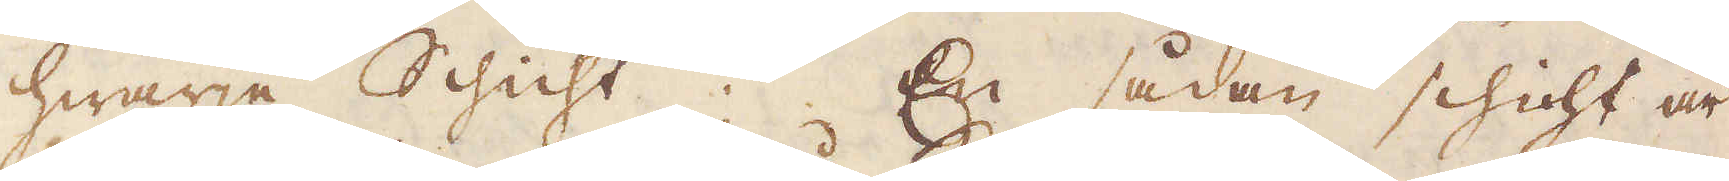hwarje Schicht. En sådan schicht är
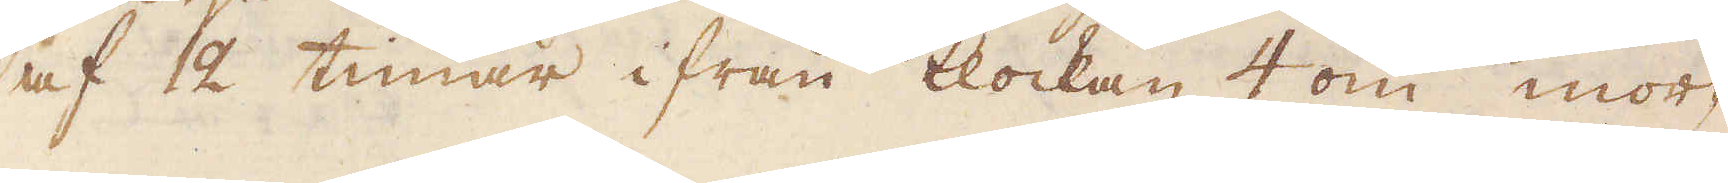af 2 timar ifrån klockan 4 om mor-
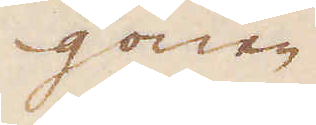gonen
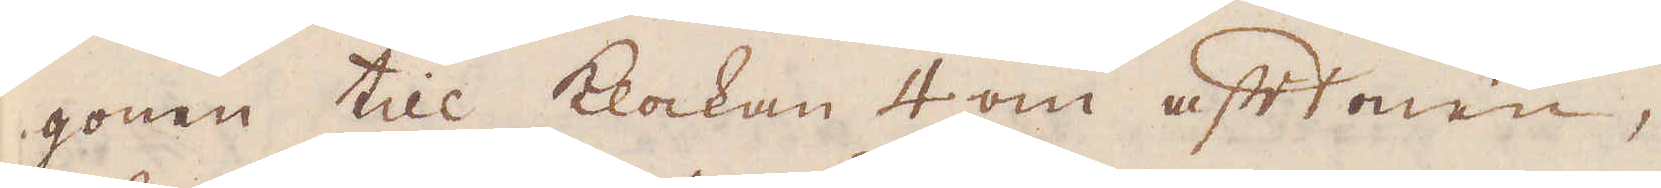gonen till klockan 4 om aftonen,
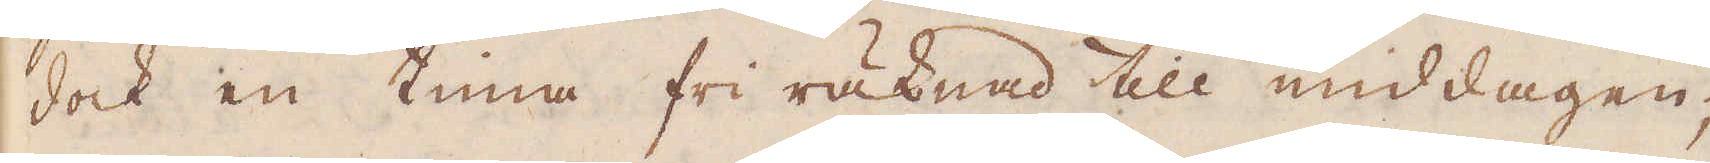dock en tima fri räknad till middagen;
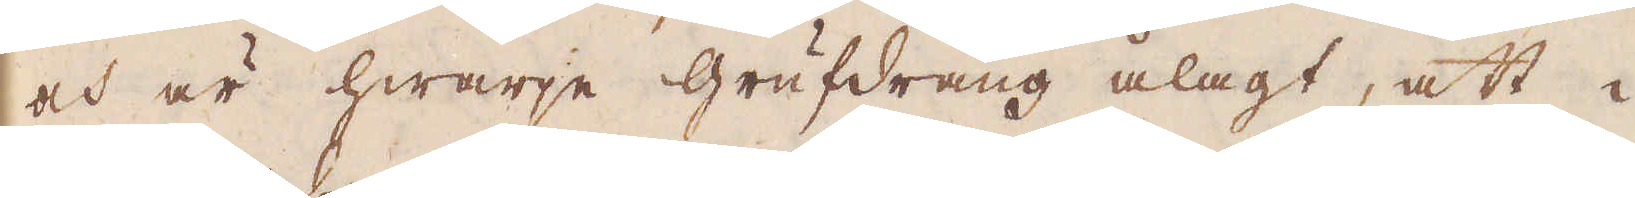och är hwarje grufdräng ålagt, att i
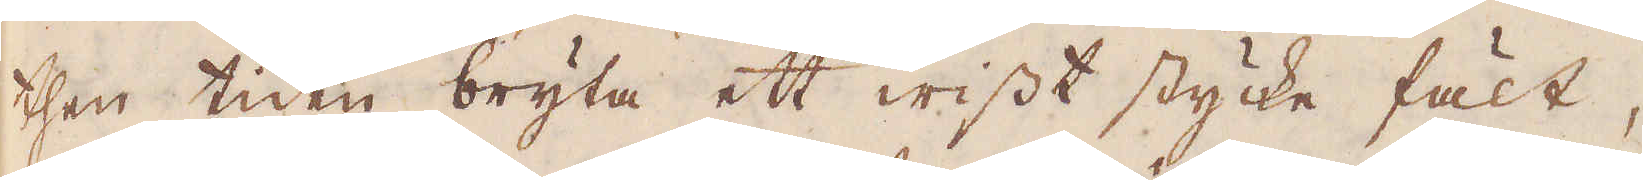then tiden bryta ett wisst stycke fält,
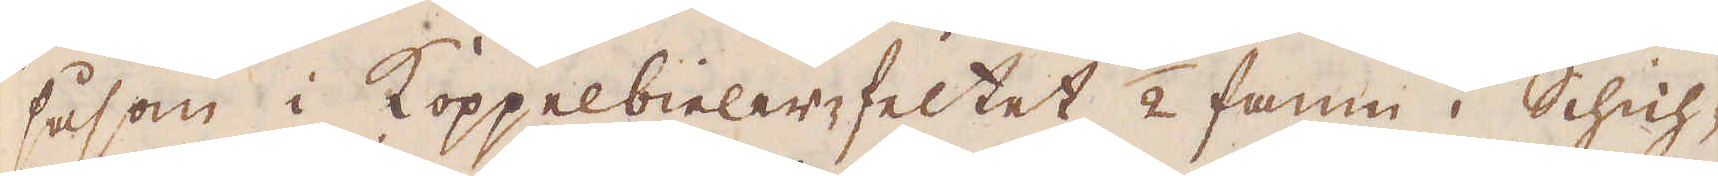såsom i Koppelbieler-feltet 1/2 famn i Schich-
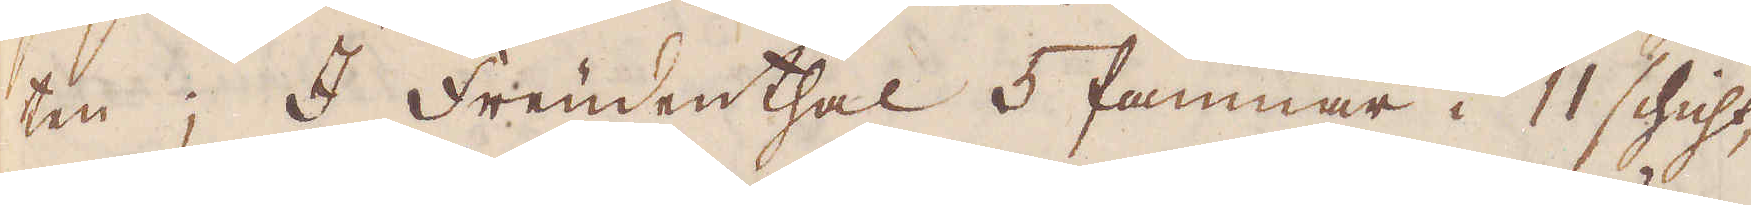ten; I Frendenthal 5 famnar i 11 schicht,
